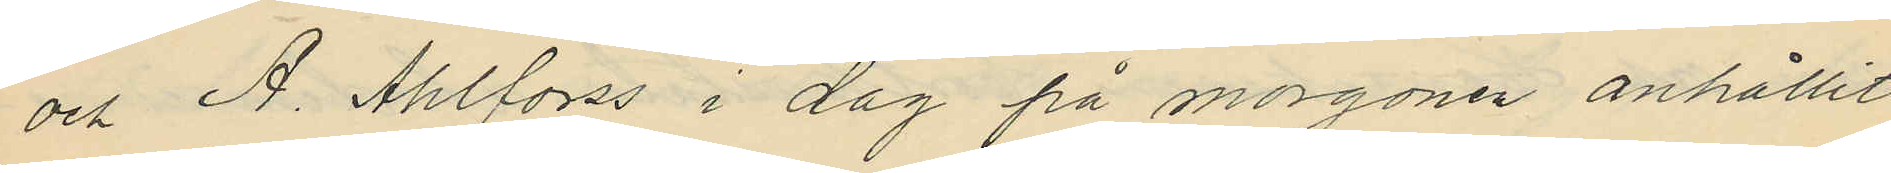och A. Ahlforss i dag på morgonen anhållit
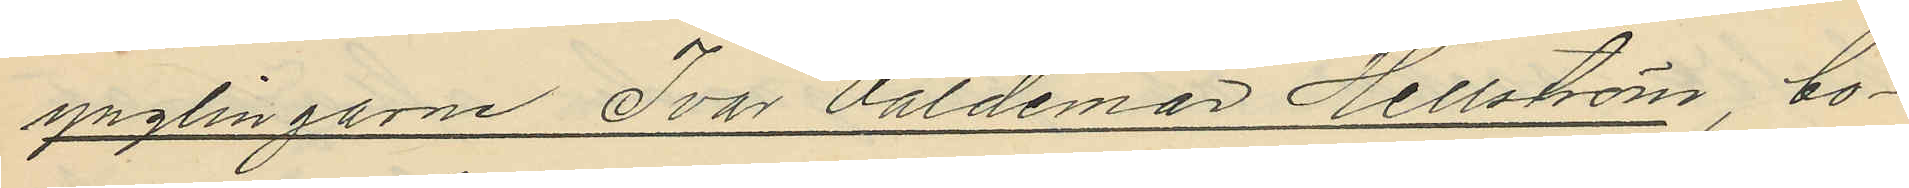ynglingarne Ivar Valdemar Hellström, bo¬
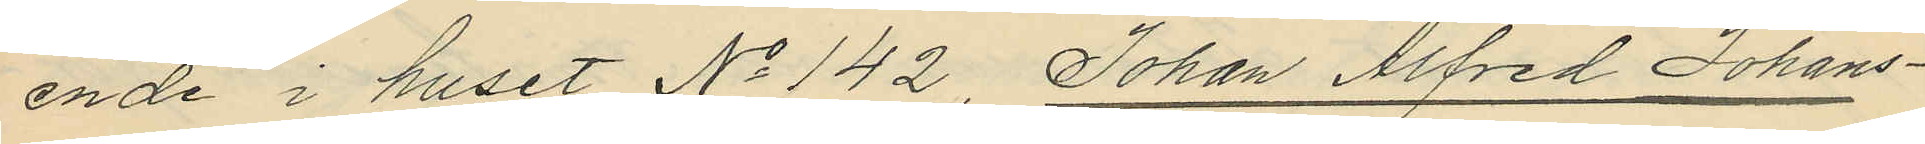ende i huset No 142, Johan Alfred Johans¬
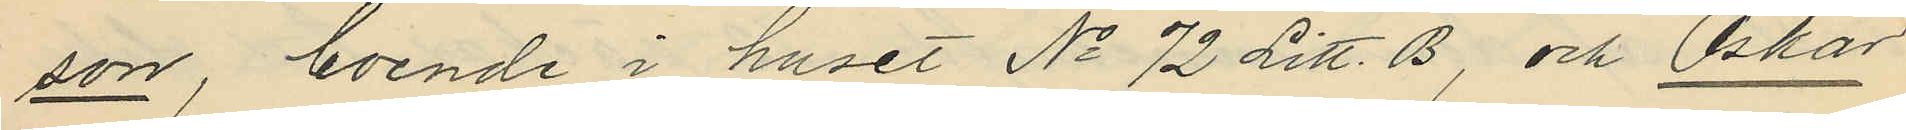son, boende i huset No 72 Litt. B, och Oskar
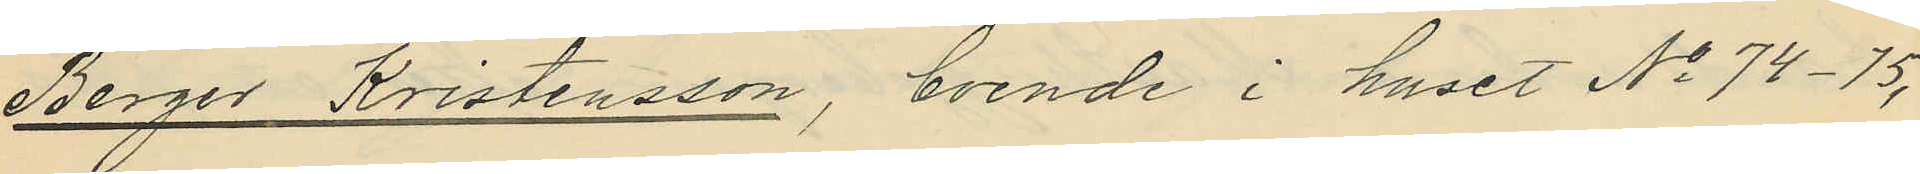Berger Kristensson, boende i huset No 74-75,
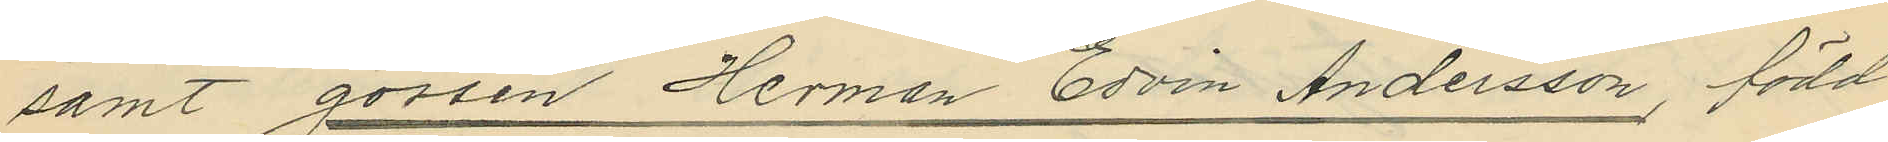samt gossen Herman Edvin Andersson född
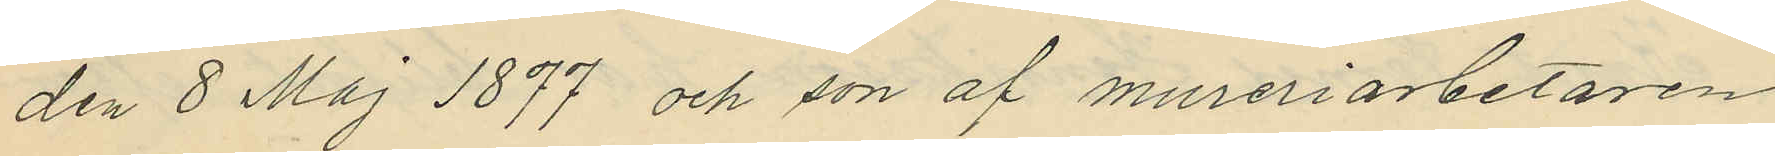den 8 Maj 1877 och son af mureriarbetaren
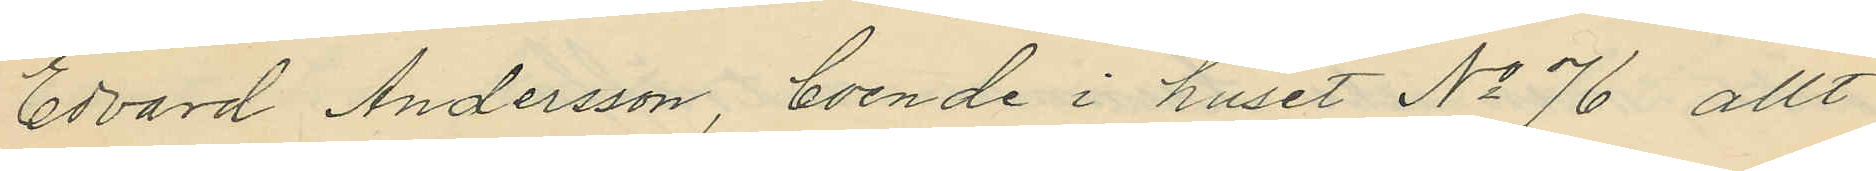Edvard Andersson, boende i huset No 76 allt
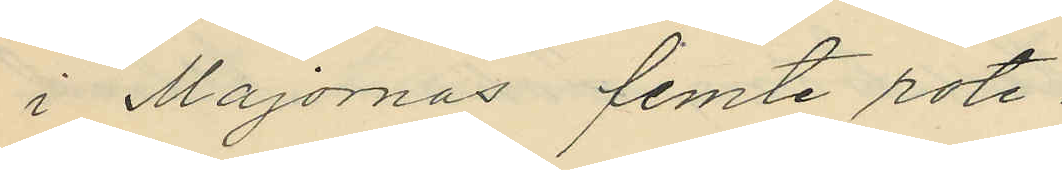i Majornas femte rote.
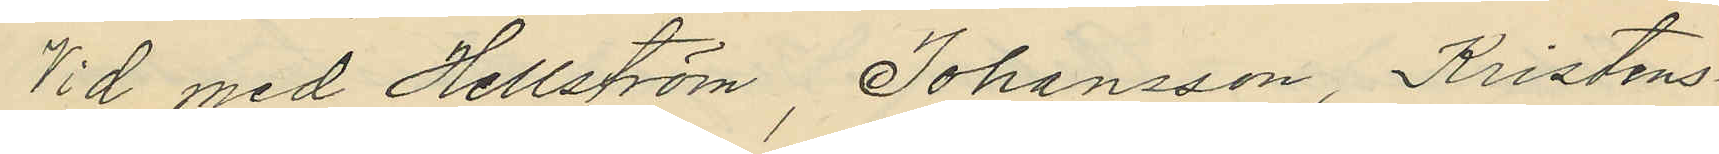Vid med Hellström, Johansson, Kristens¬
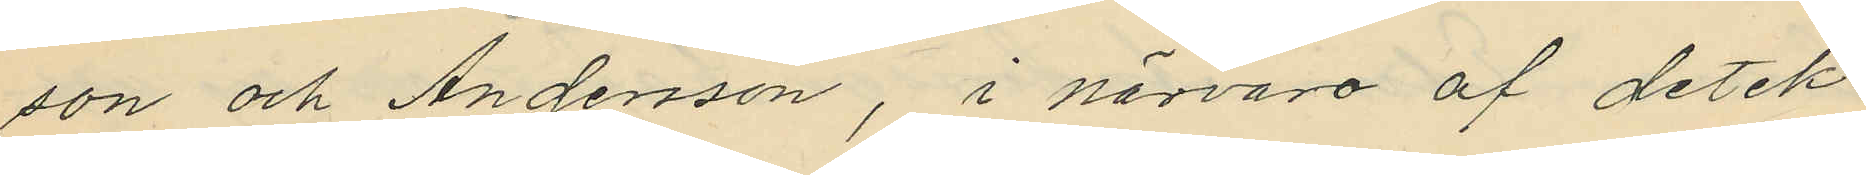son och Andersson, i närvaro af detek¬
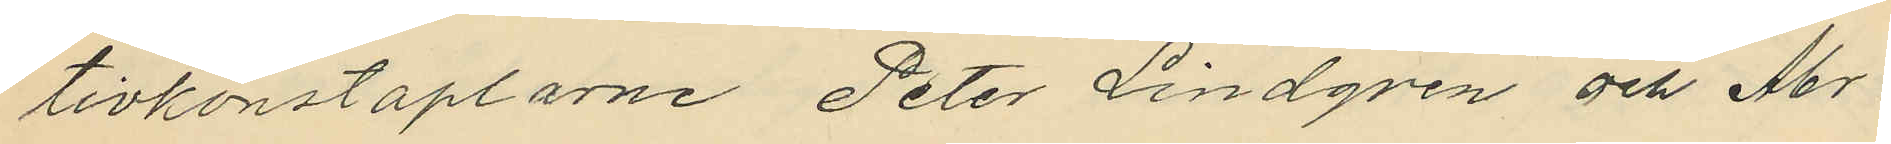tivkonstaplarne Peter Lindqven och Ar.
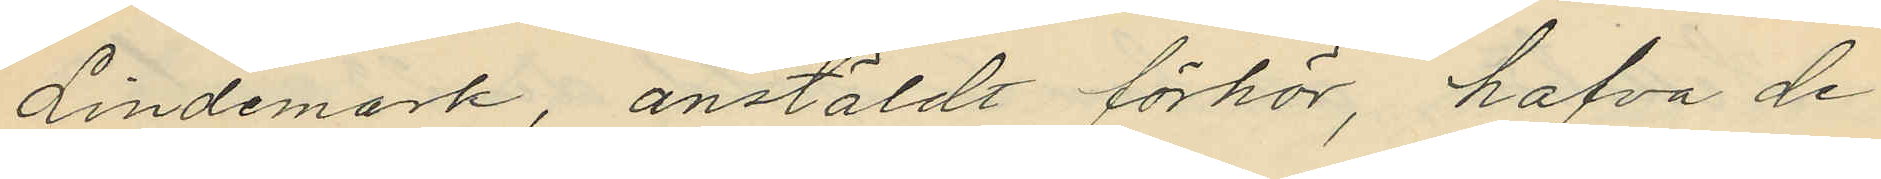Lindemark, anstäldt förhör, hafva de
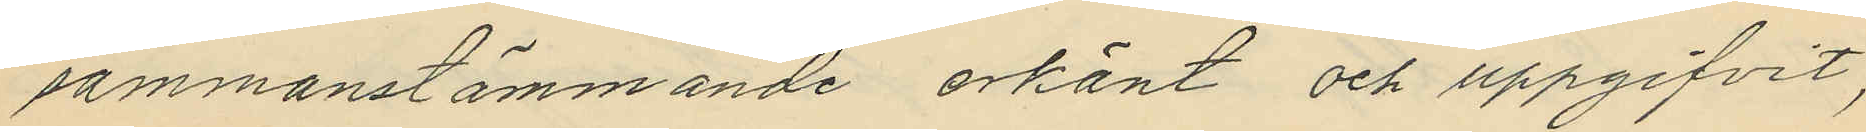sammanstämmande erkänt och uppgifvit,
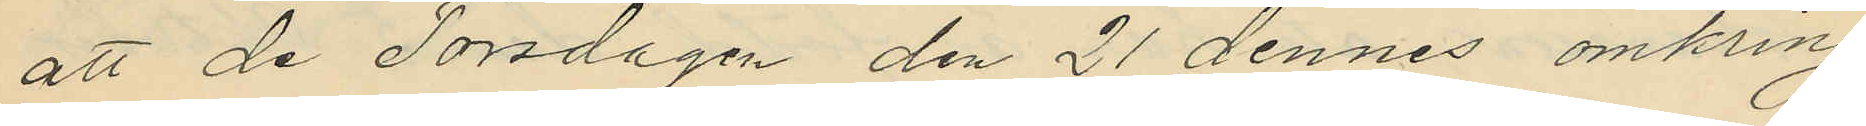att de Torsdagen den 21 dennes omkring
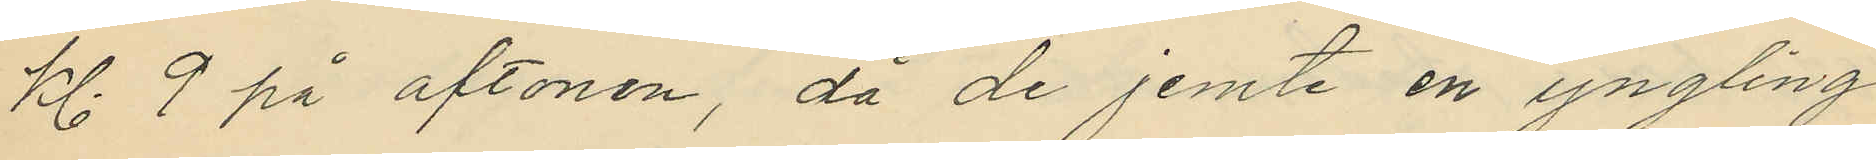kl. 9 på aftonen, då de jemte en yngling
